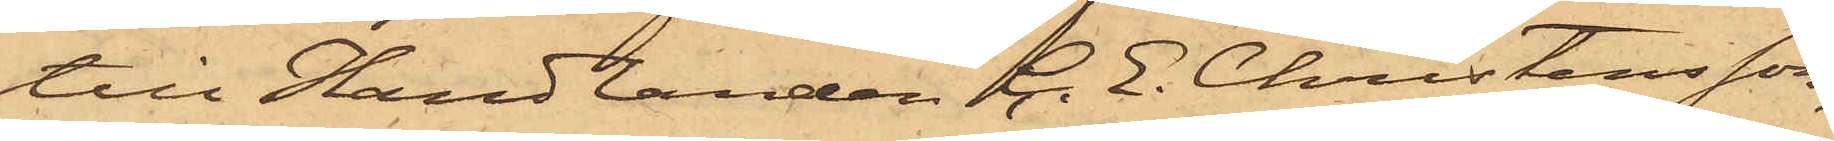till Handlanden C. E. Christensson,
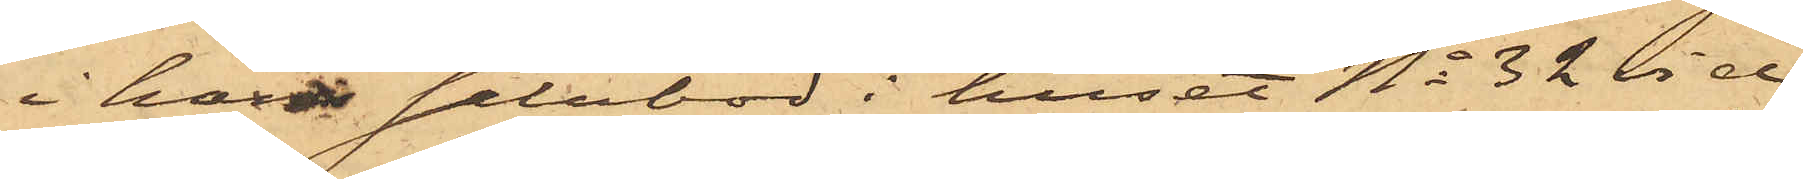i hans salubod i huset No 32 vid
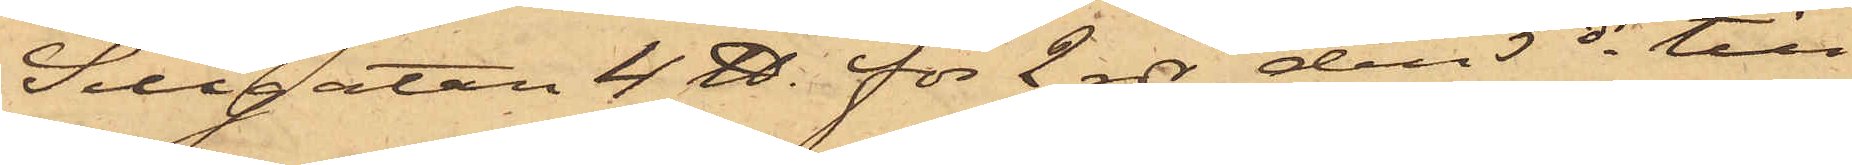Sillgatan 4 ℔. för 2 rdr, den 5 ds till
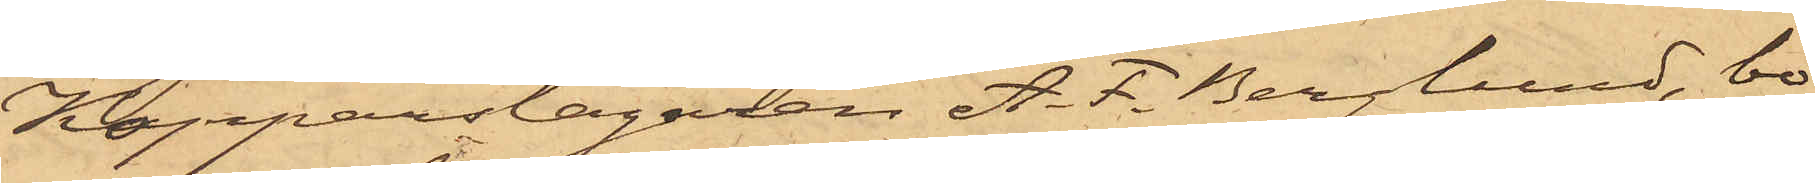Kopparslagaren A. F. Berglund, bo¬
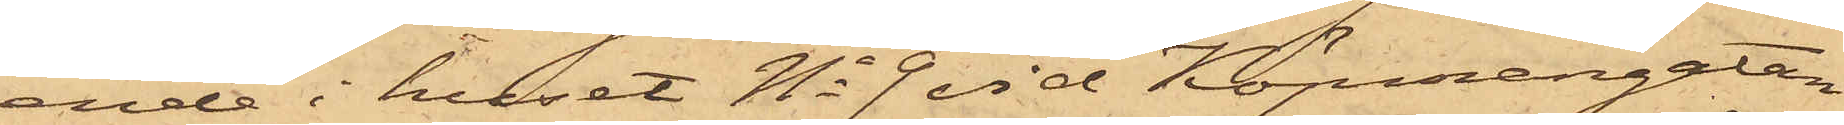ende i huset No 9 vid Köpmangatan,
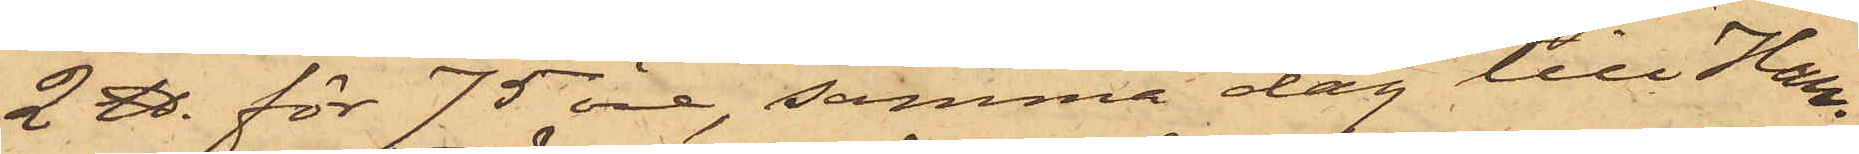2 ℔. för 75 öre, samma dag till Han¬
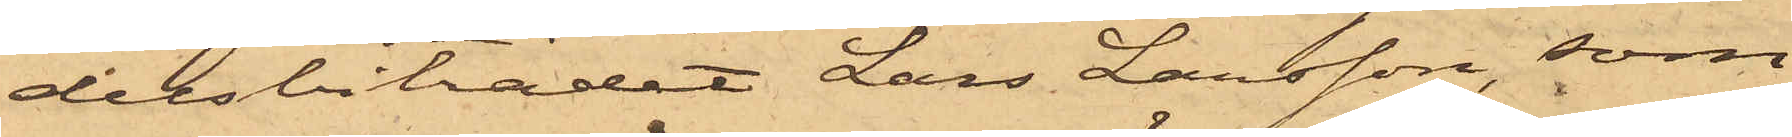delsbiträdet Lars Larsson, som
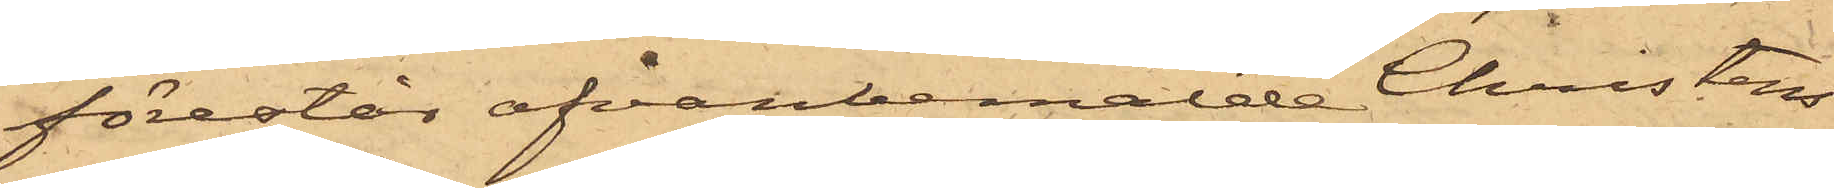förestår ofvanbemälde Christens¬
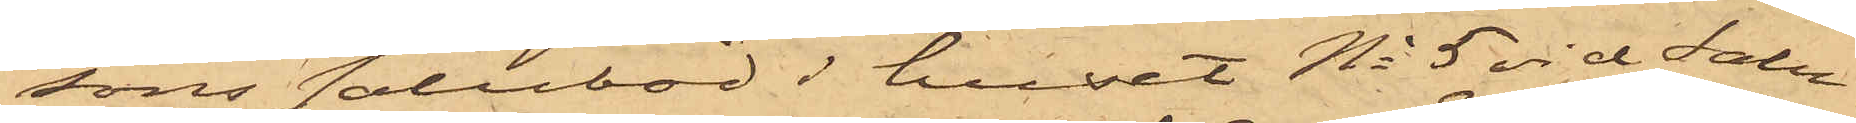sons salubod i huset No 5 vid Salu¬
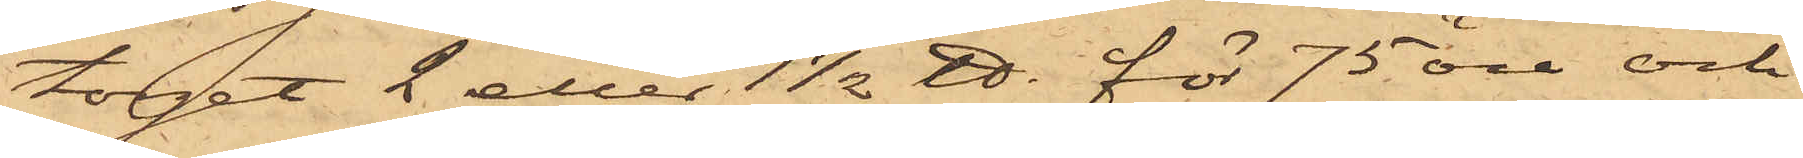torget 2 eller 1 1/2 ℔. för 75 öre och
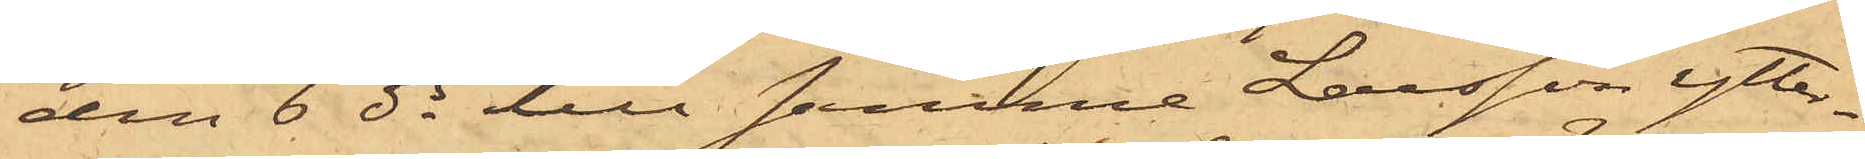den 6 ds till samma Larsson ytter¬
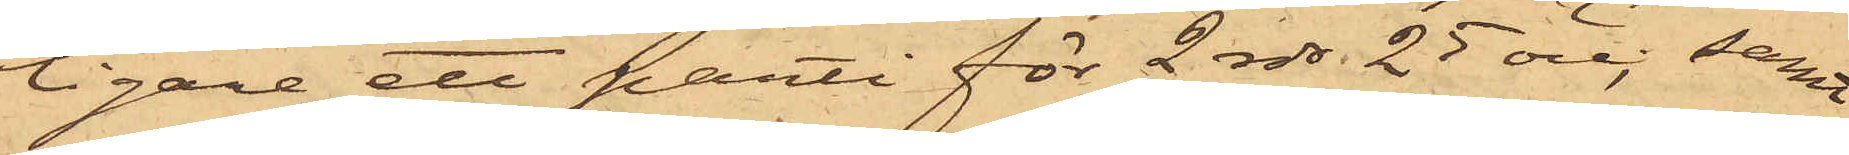ligare ett parti för 2 rdr 25 öre; samt
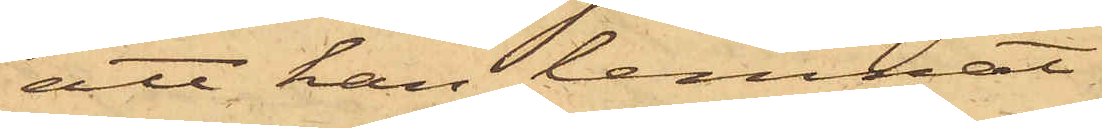att han lemnat
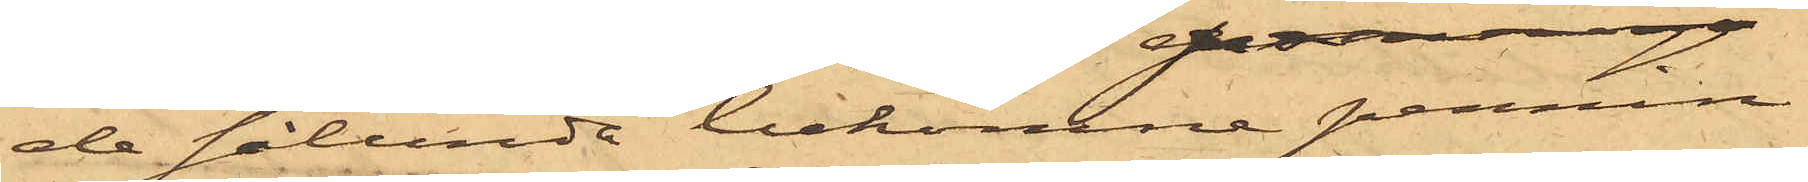de sålunda bekomna pennin¬
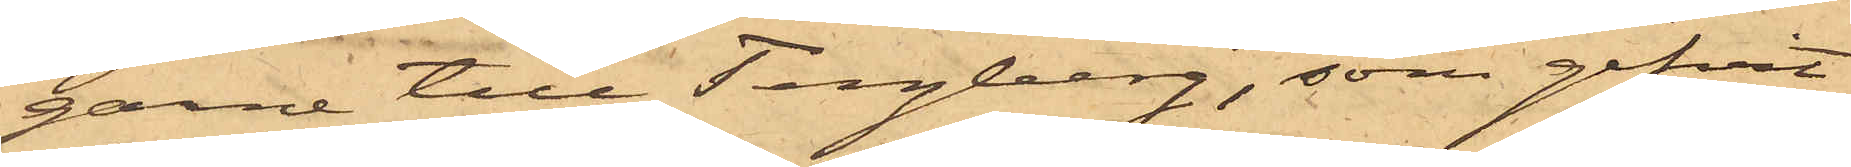garne till Tengberg, som gifvit
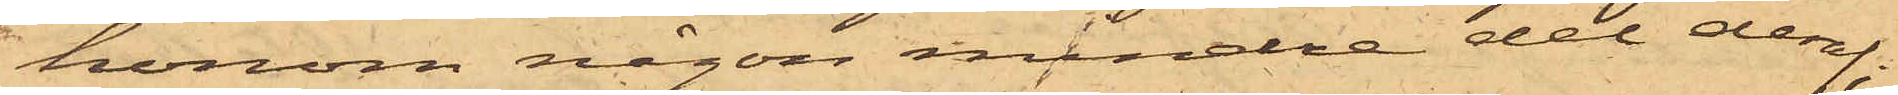honom någon mindre del deraf;
